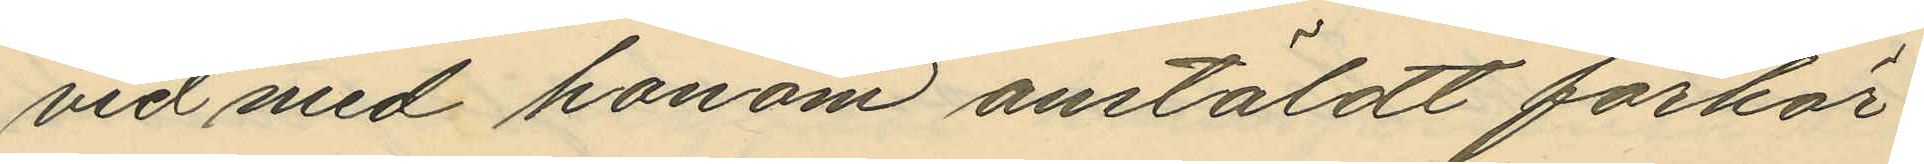vid med honom anstäldt förhör
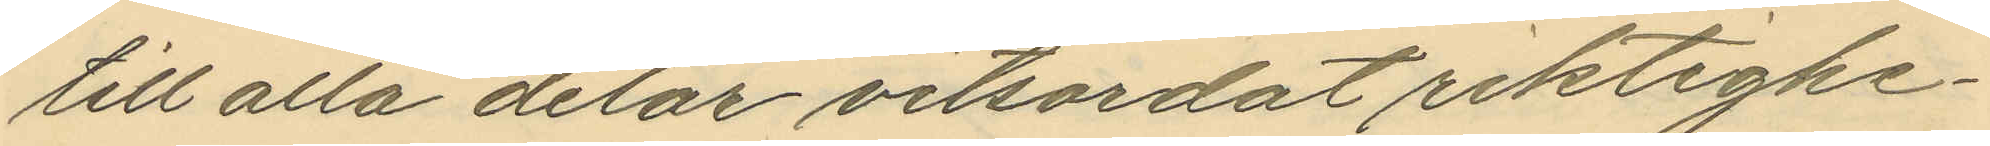till alla delar vitsordat riktighe¬
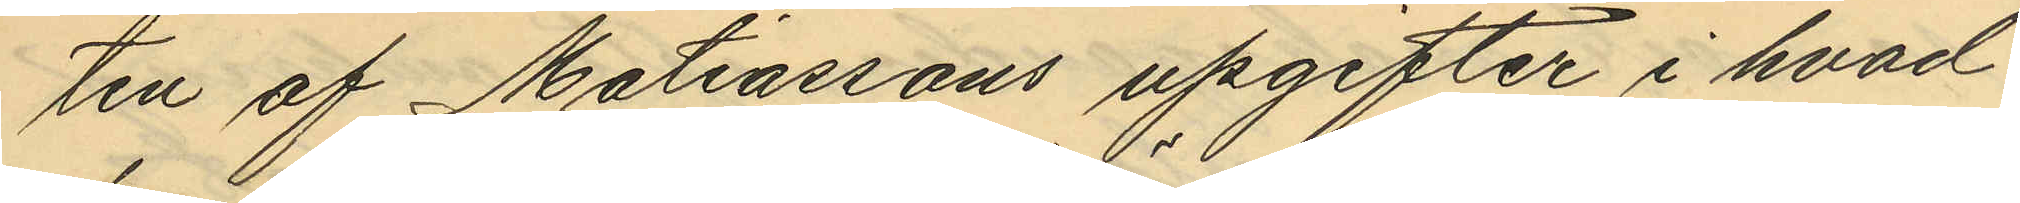ten af Matiassons upgifter i hvad
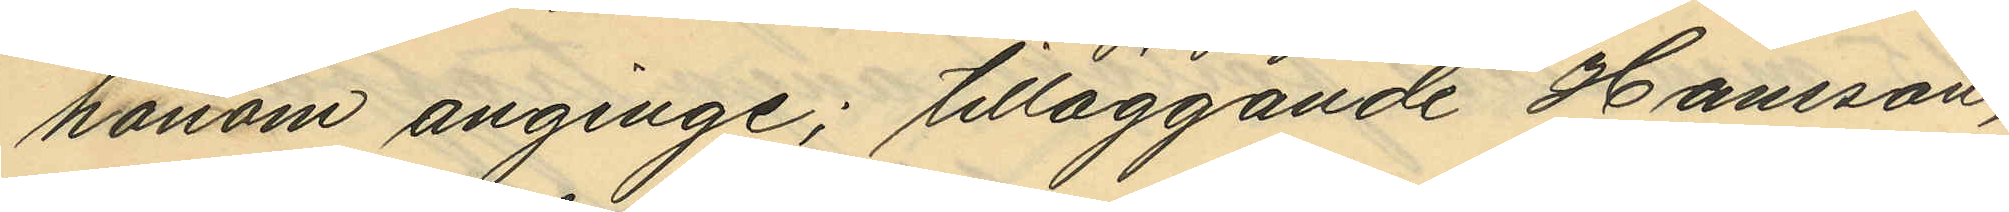honom anginge; tilläggande Hansson,
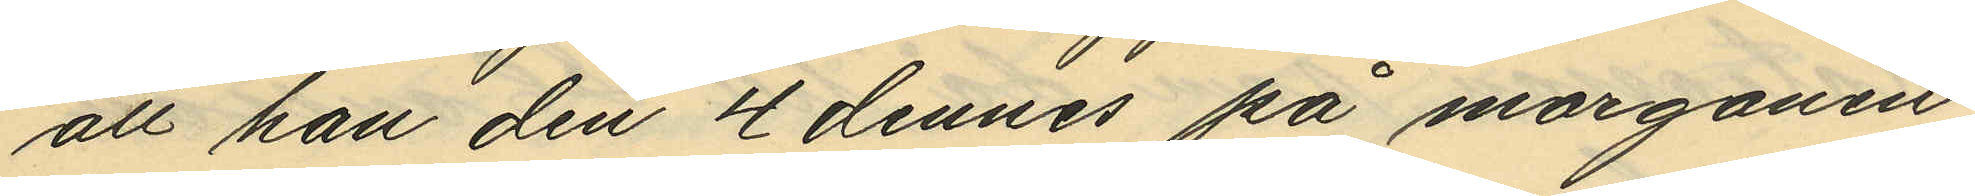att han den 4 dennes på morgonen
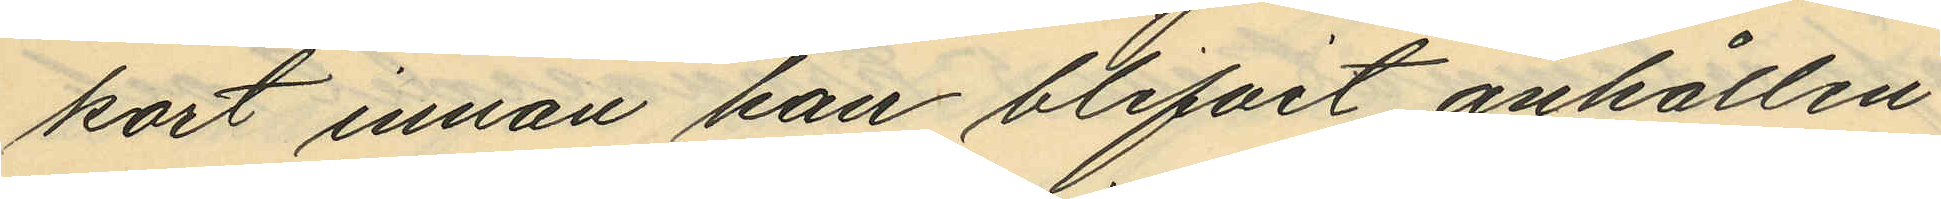kort innan han blifvit anhållen
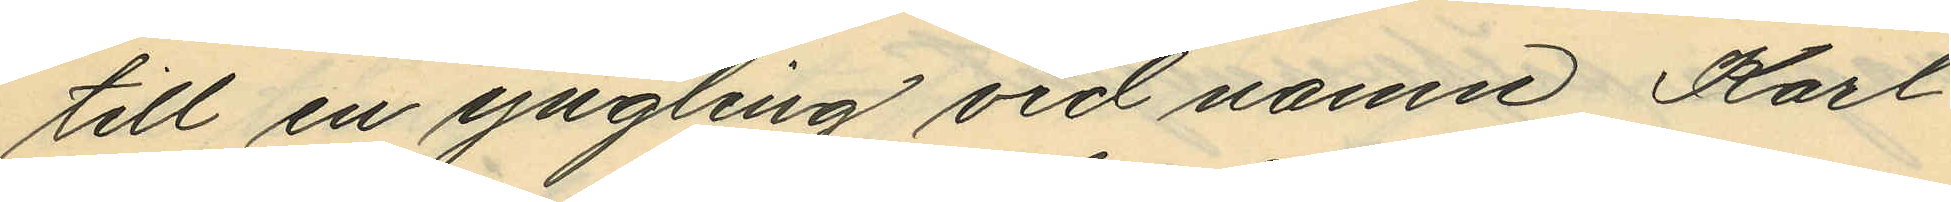till en yngling vid namn Karl
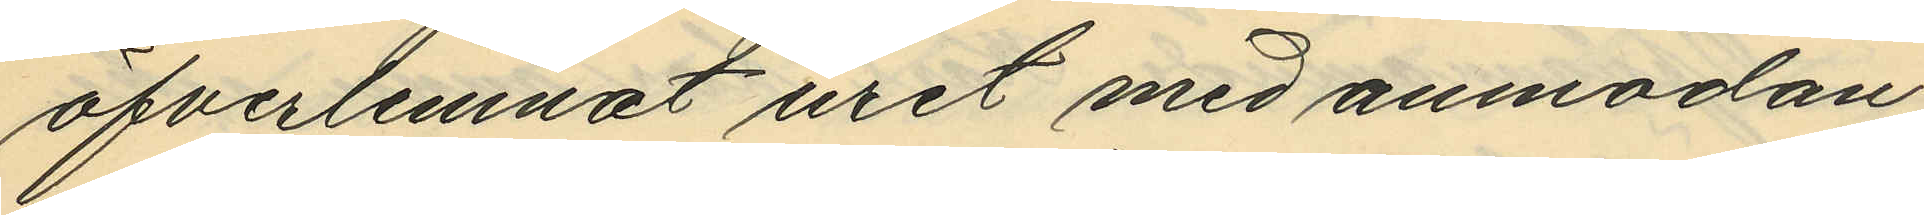öfverlemnat uret med anmodan
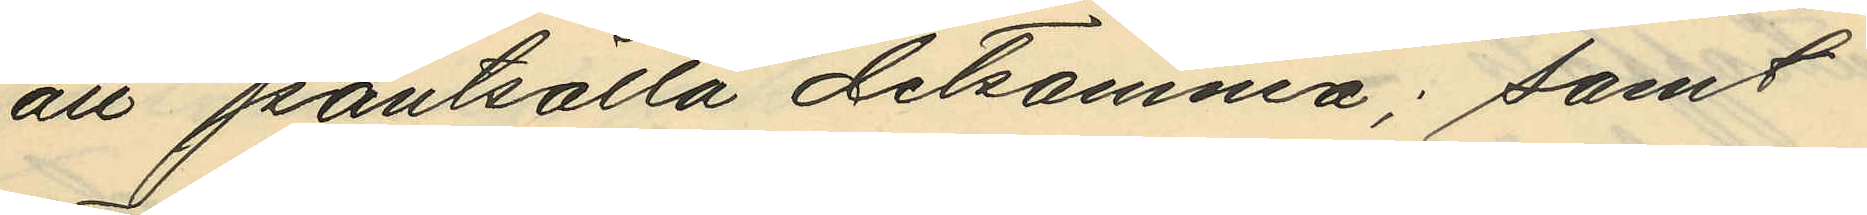att pantsätta detsamma; samt
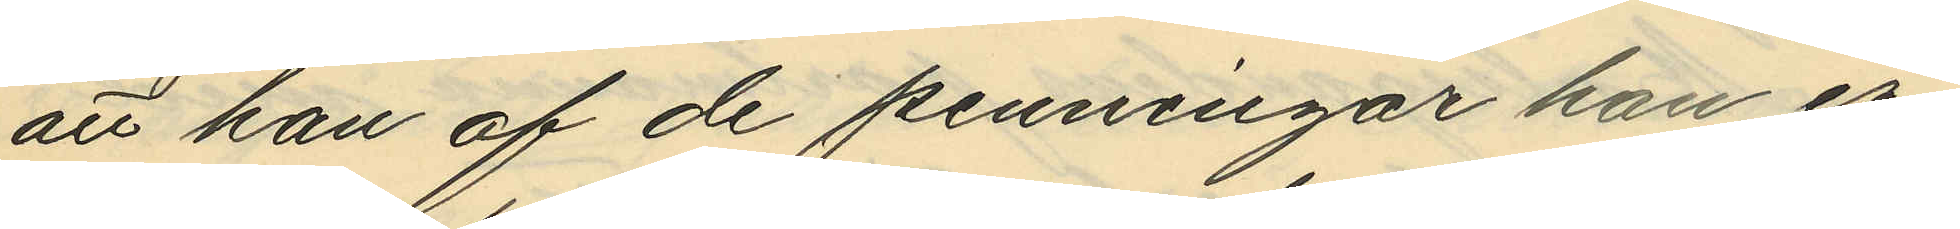att han af de penningar han er¬
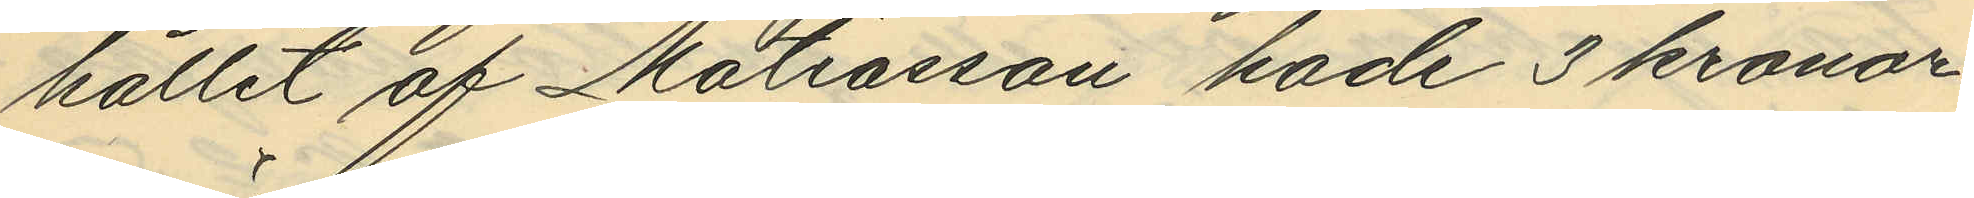hållit af Matiasson hade 3 kronor
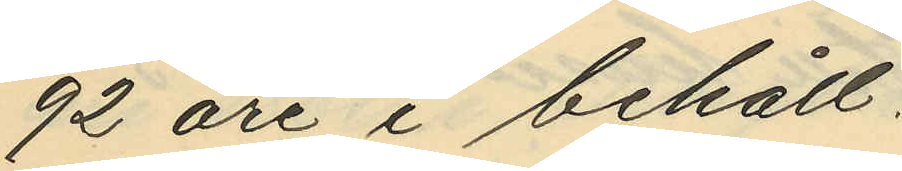92 öre i behåll.
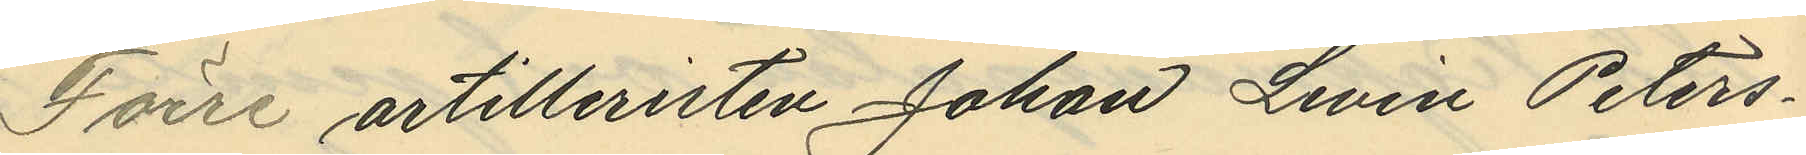Förre artilleristen Johan Levin Peters¬
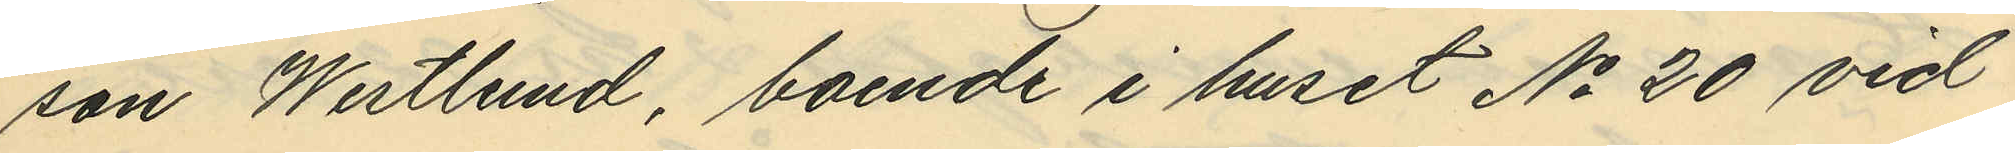son Westlund, boende i huset No 20 vid
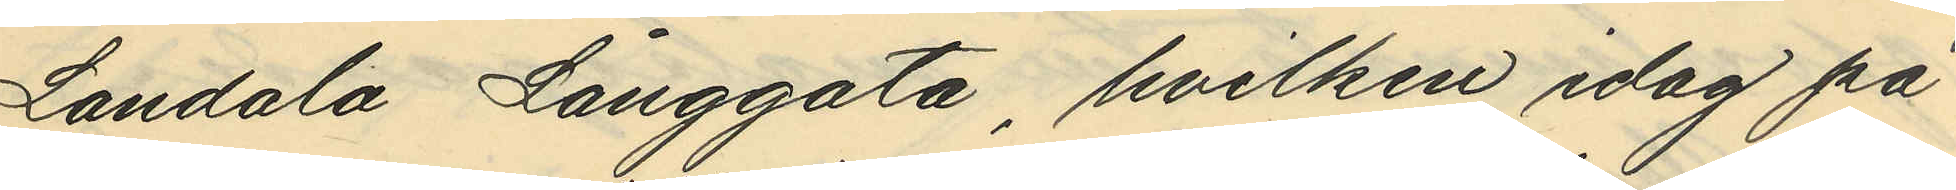Landala Långgata, hvilken idag på
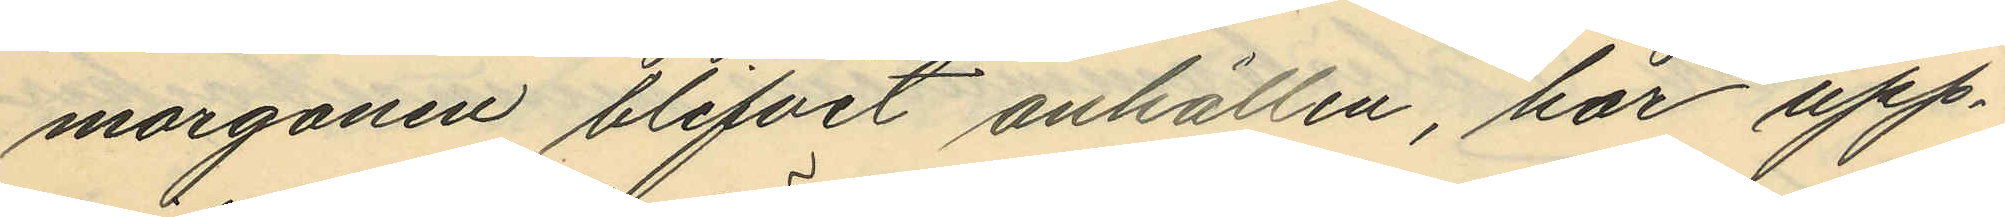morgonen blifvit anhållen, har upp¬
